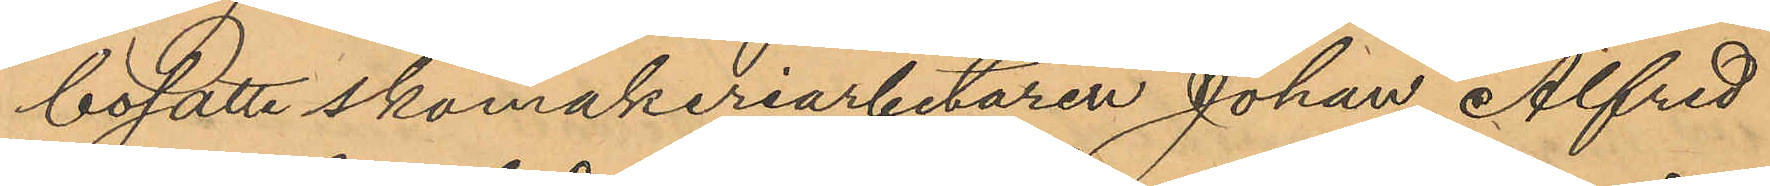bosatte skomakeriarbetaren Johan Alfred
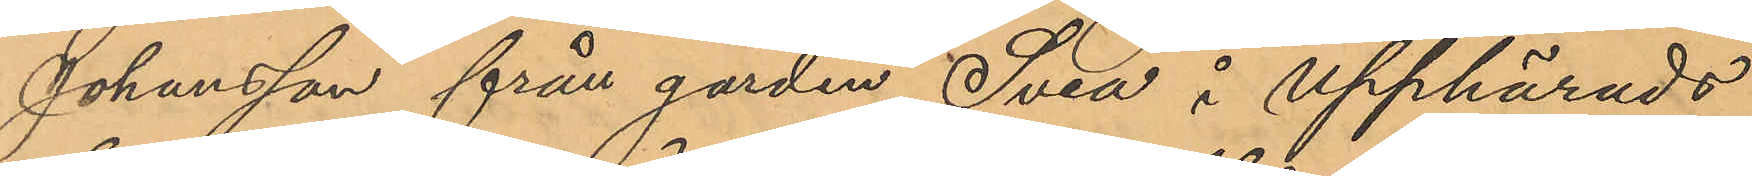Johansson från gården Svea i Upphärads
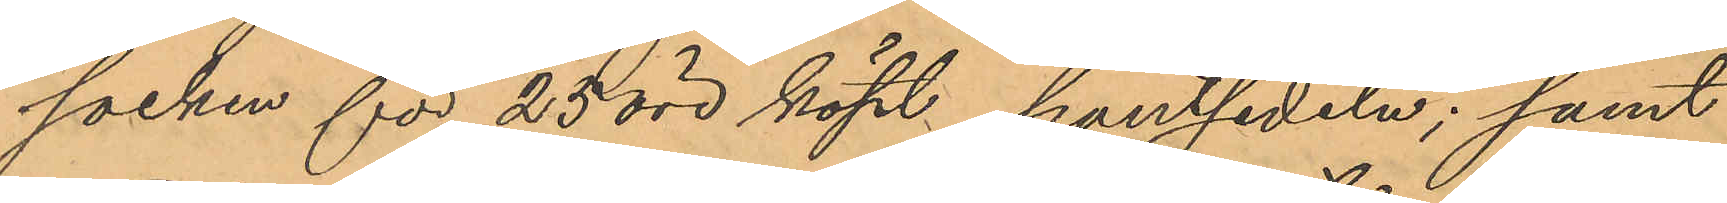socken för 25 öre köpt pantsedeln; samt
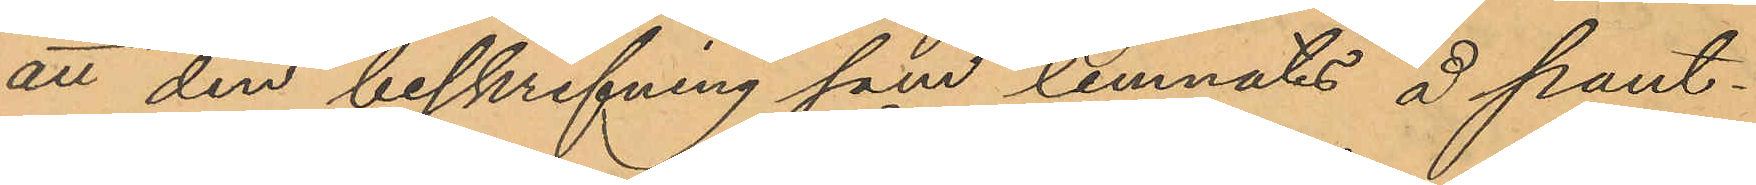att den beskrifning som lemnats å pant¬
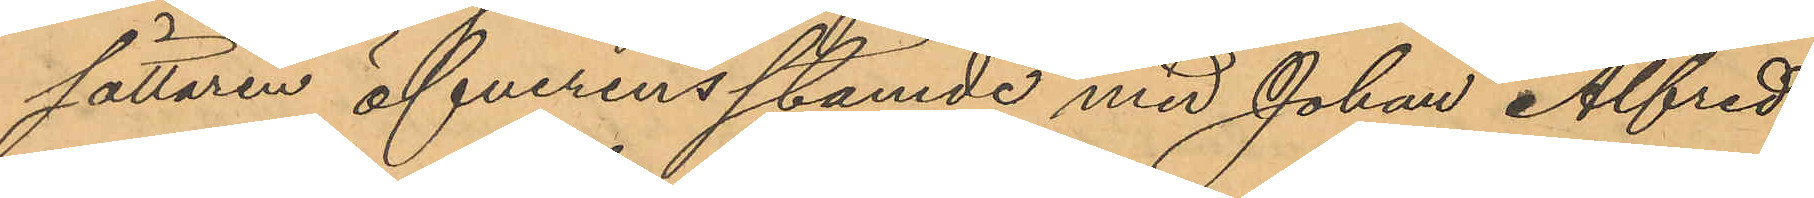sättaren öfverensstämde med Johan Alfred
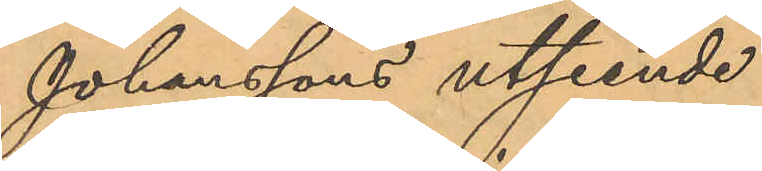Johanssons utseende.
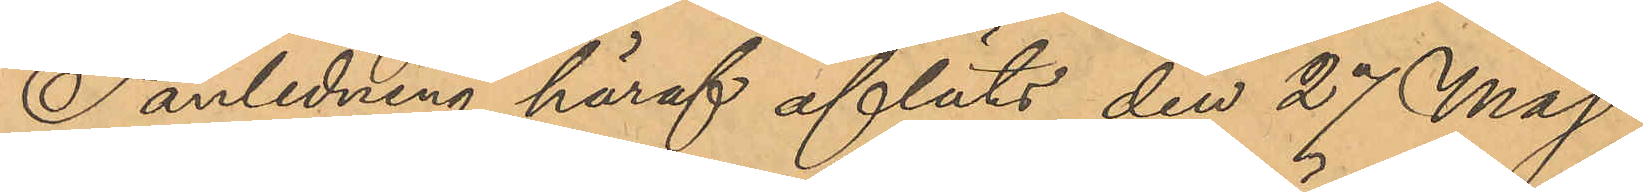I anledning häraf afläts den 27 Maj
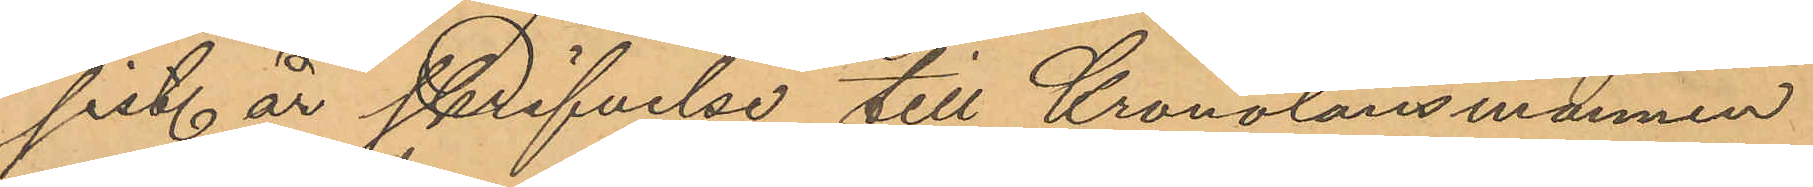sist. år skrifvelse till Kronolänsmannen
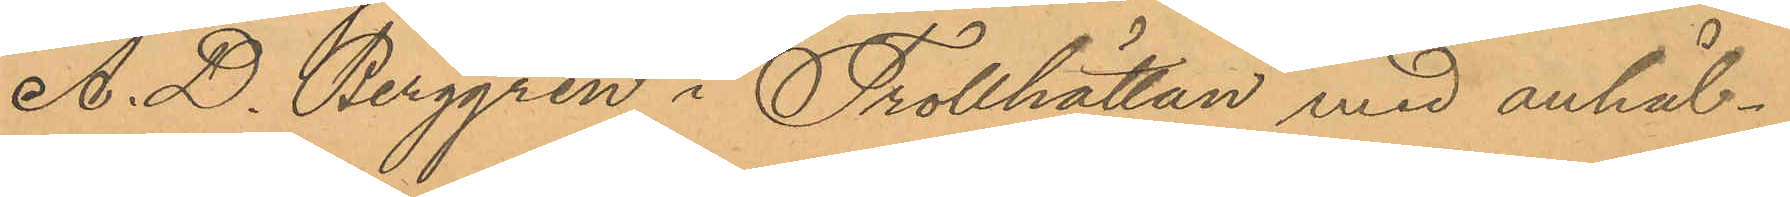A. D. Berggren i Trollhällan med anhål¬
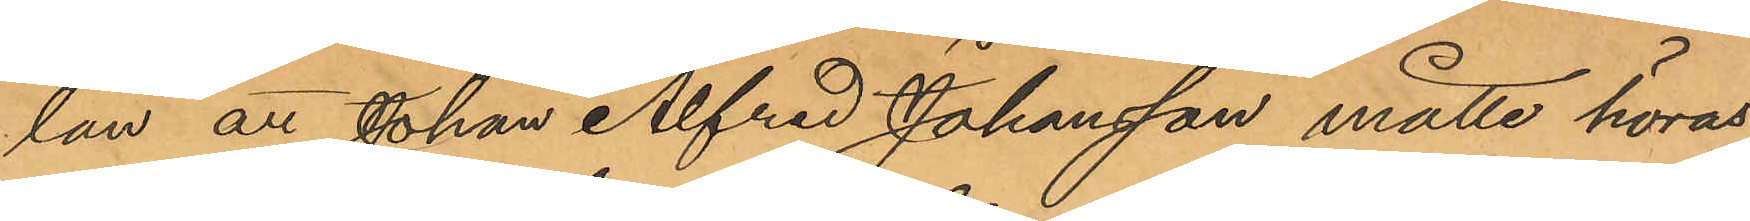lan att Johan Alfred Johansson måtte höras
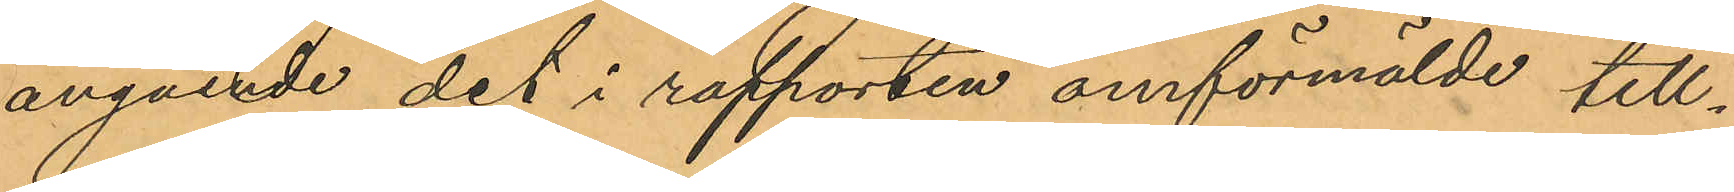angående det i rapporten omförmälde till¬
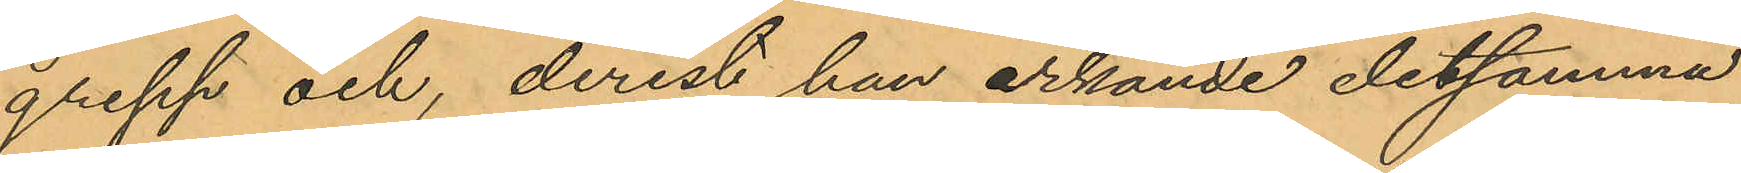grepp och, derest han erkände detsamma
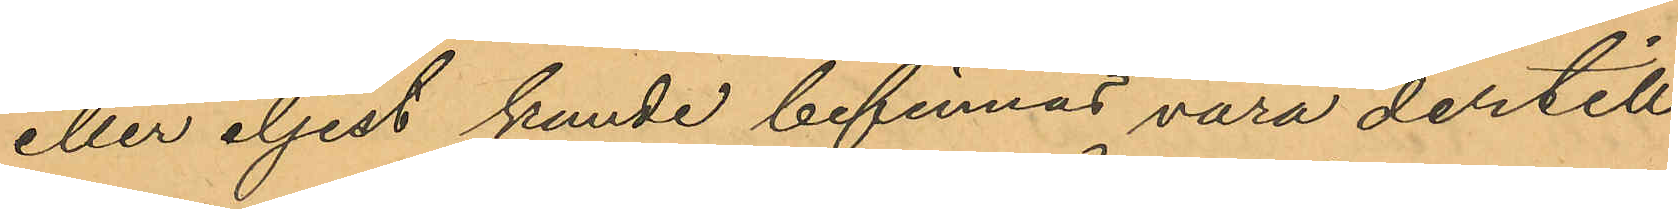eller eljest kunde befinnas vara dertill
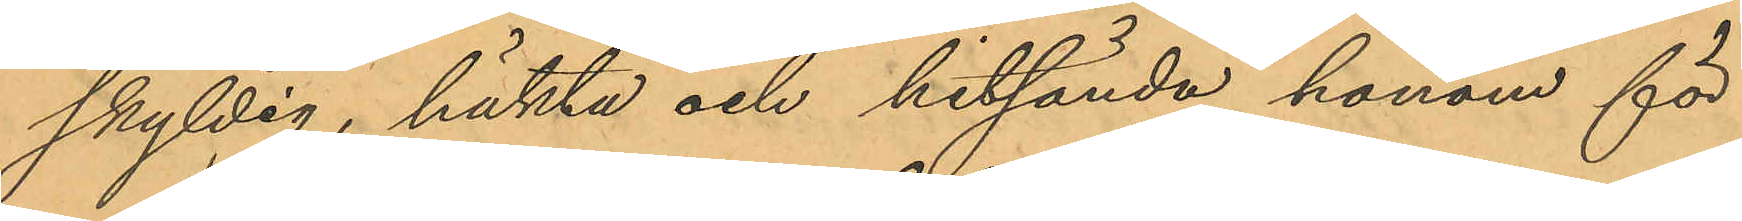skyldig, häkta och hitsända honom för
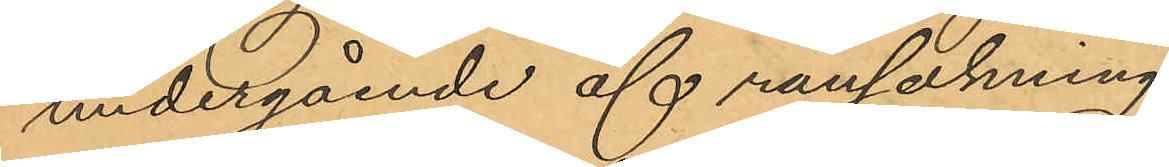undergående af rannsakning.
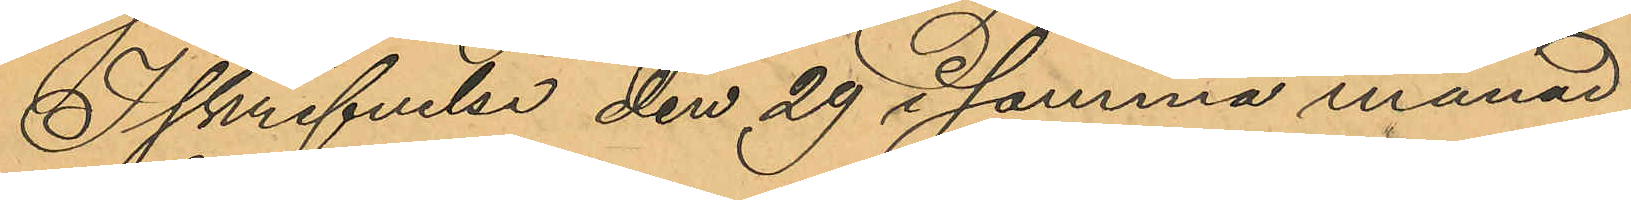I skrifvelse den 29 i samma månad
